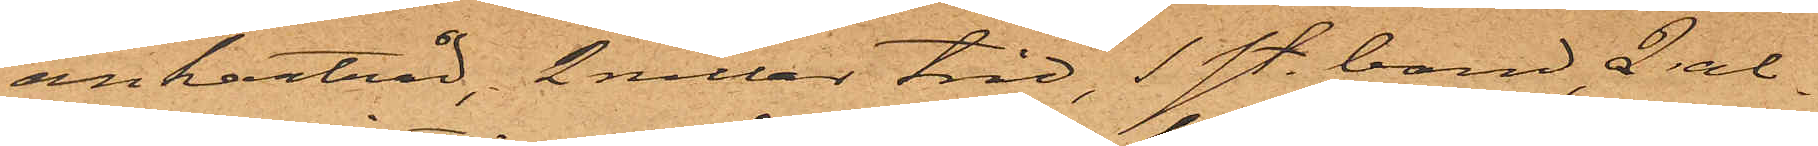ankartråd, 2 rullar tråd, 1 sty. band, 2 al¬
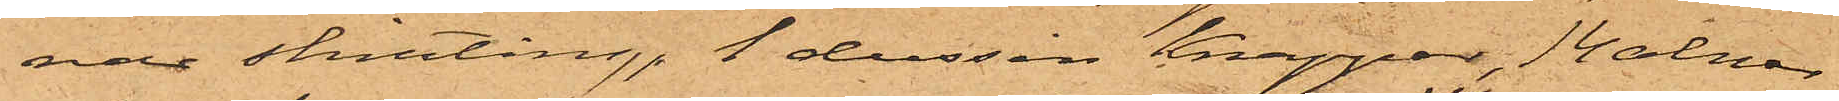nar shirting, 1 dussin knappar, 14 alnar
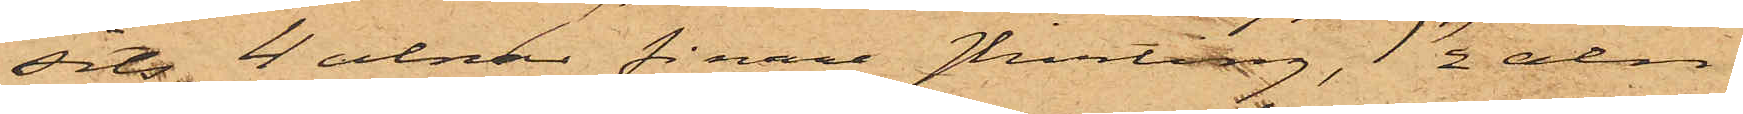sits, 4 alnar finare shirting, 1½ aln
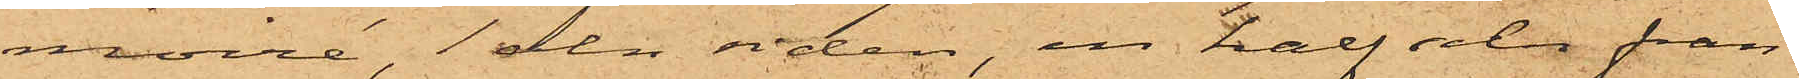moiré, 1 aln siden, en half aln fran¬
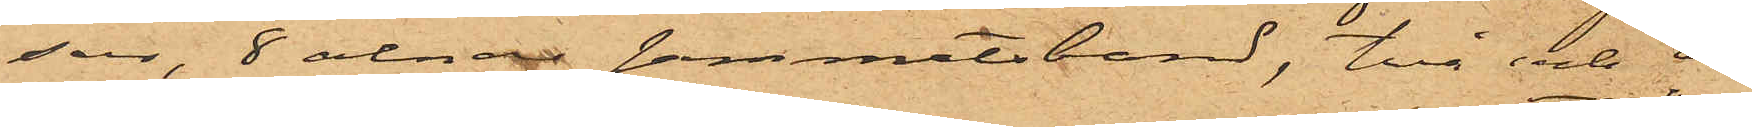sar, 8 alnar sammetsband, två och en
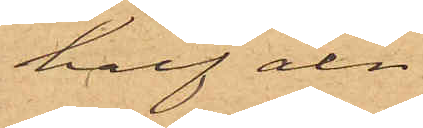half aln
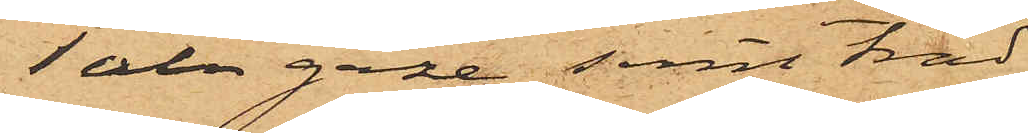1 aln gaze samt tråd
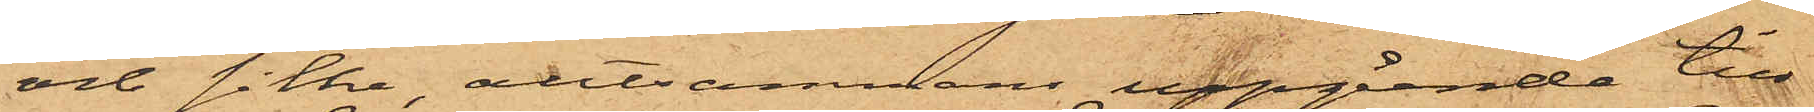och silke, alltsammans uppgående till
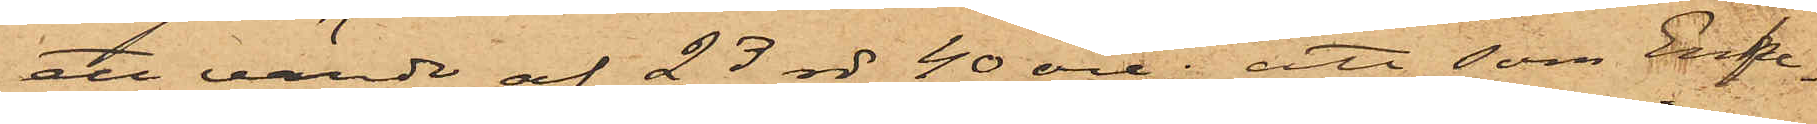ett värde af 23 rdr 40 öre; att som Enke¬
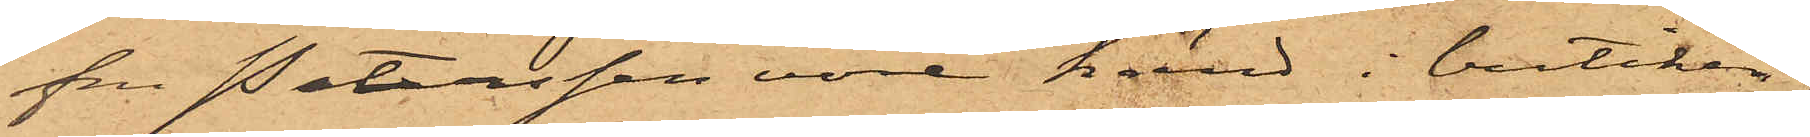fru Petersson vore känd i butiken,
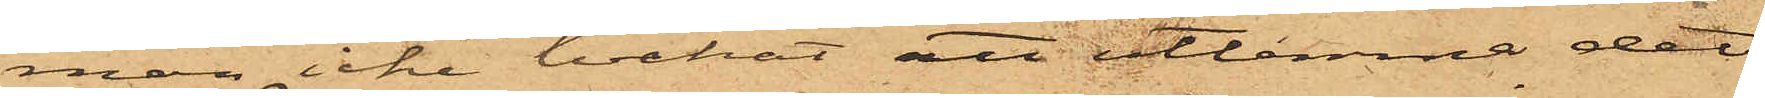man icke tvekat att utlemna det
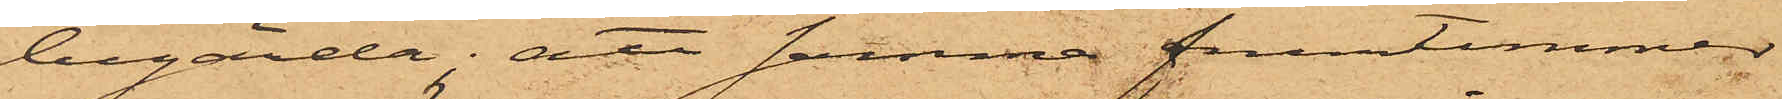begärda; att samma fruntimmer
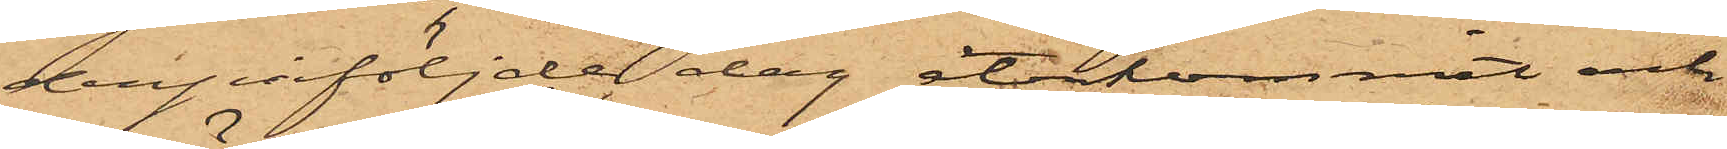derpåföljde dag återkommit och
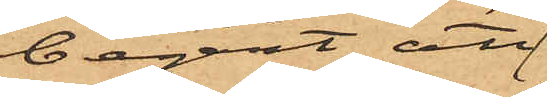begärt att
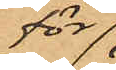för
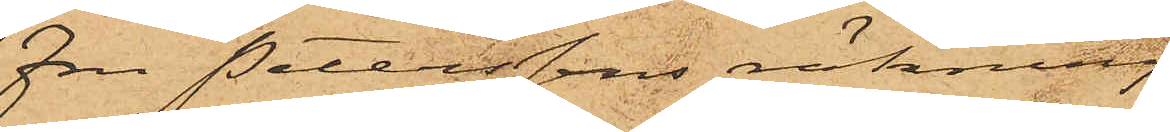Fru Peterssons räkning
